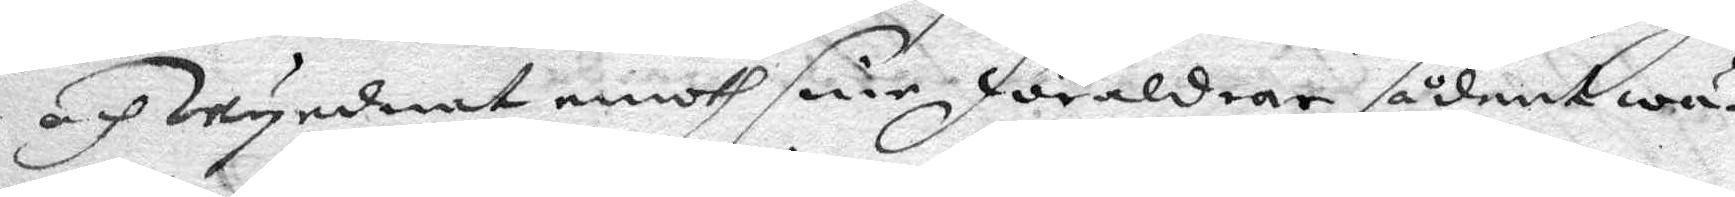och Wyrdnat emoth sine föräldrar sådant wä¬
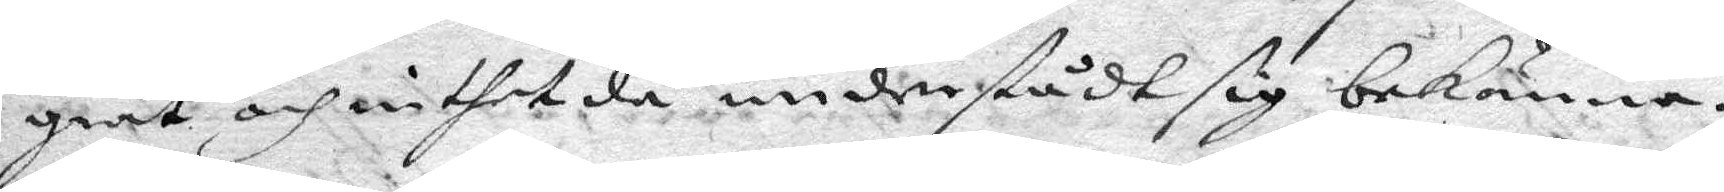grat och inthet då understådt sig bekänna.
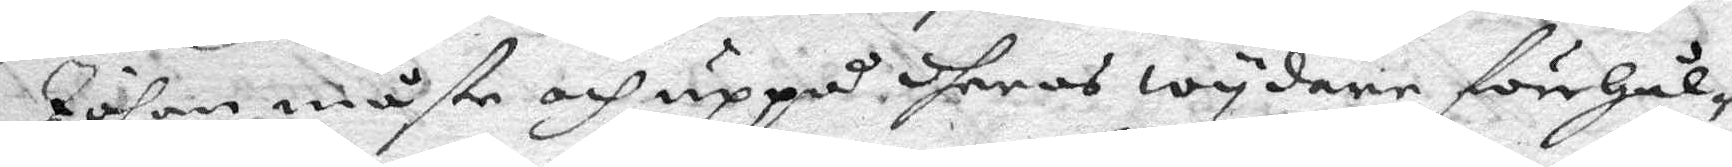Johan måste och uppå dheras wydare förehål¬
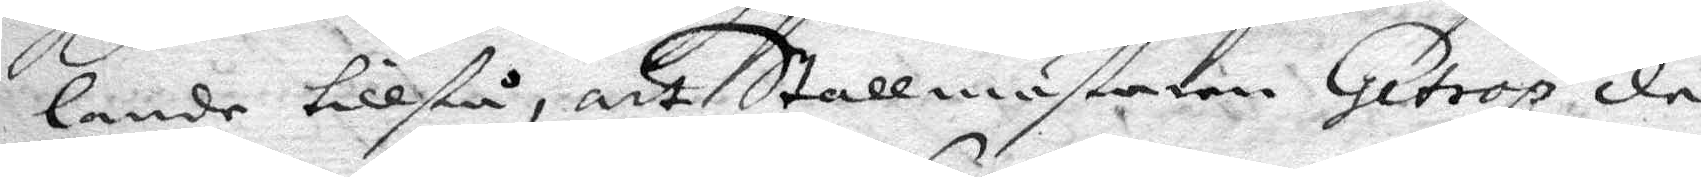lande tillstå, att Stallmästaren Getrop då
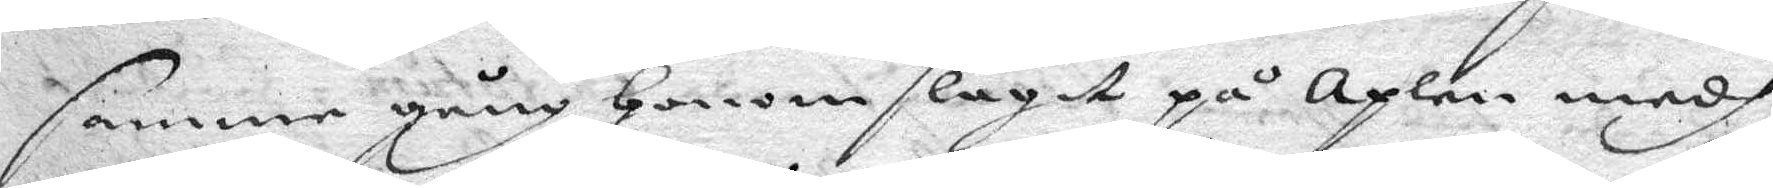samme gång Honom slagit på Axlen medh
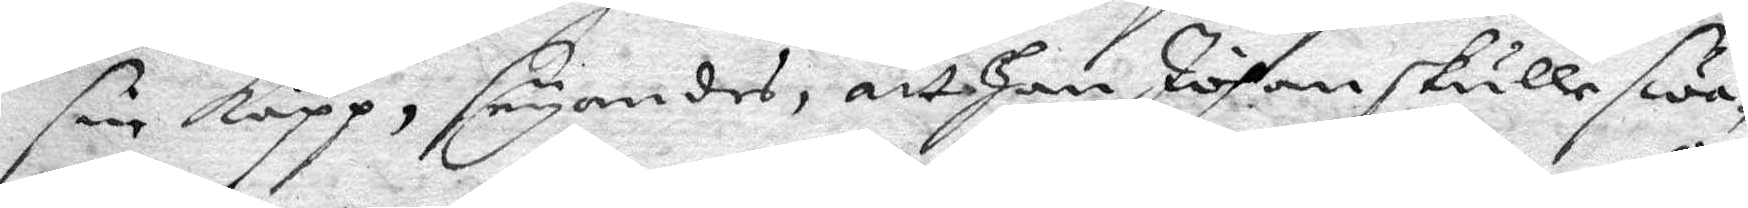sin käpp, säyandes, att Han Johan skulle swa¬
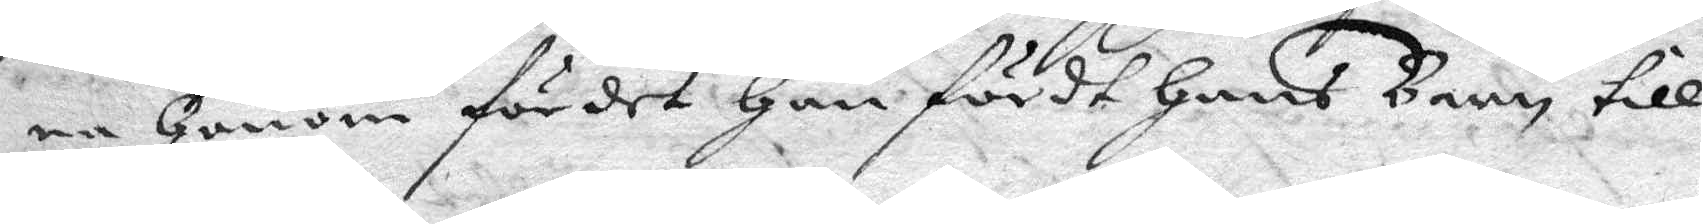ra Honom för det Han fördt Hans Barn till
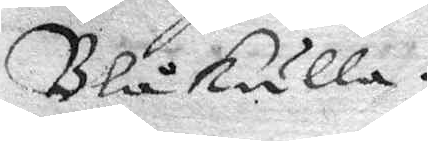Blåkulla.
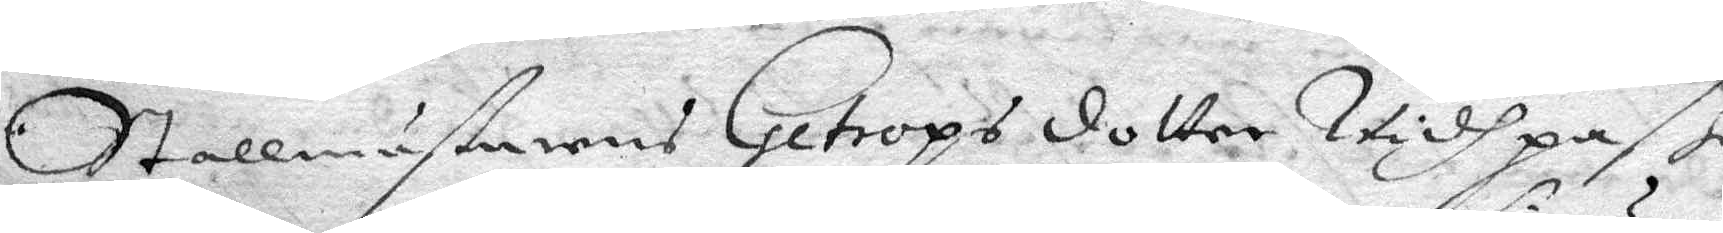Stallmästarens Getrops dotter Vidh paß
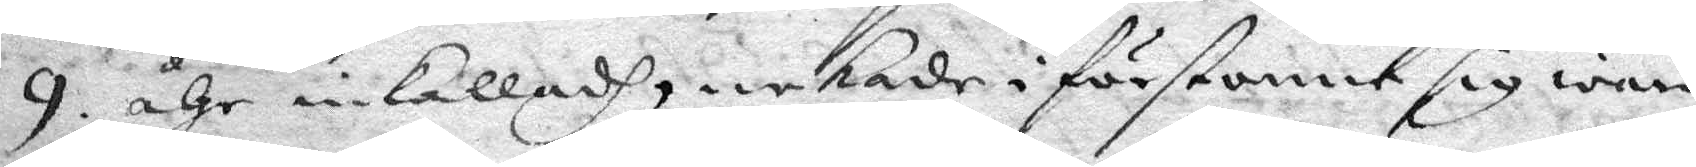9 åhr inkalladh, nekade i förstone sig wara
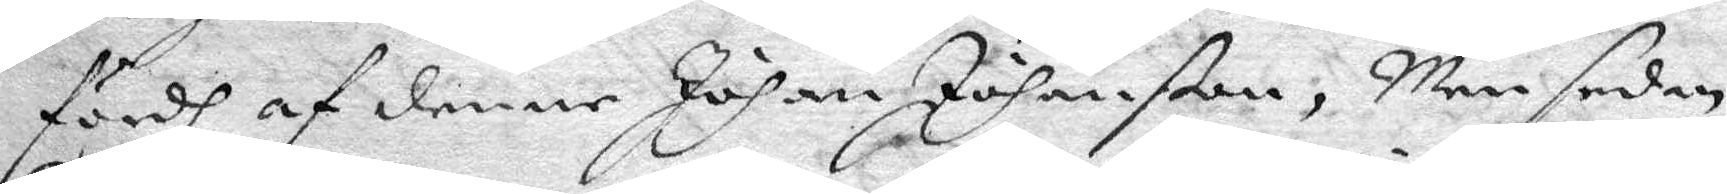fördh af denne Johan Johanßon, Men sedan
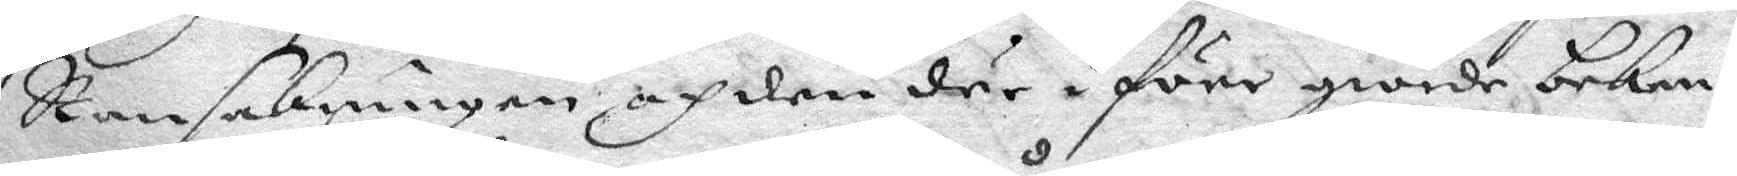Ransakningen och den där i före giorde beken¬
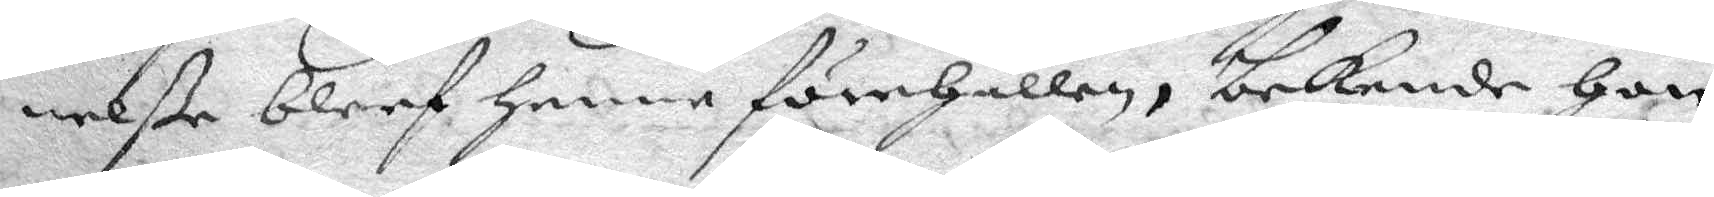nelße bleef Henne förehålen, bekende Hon
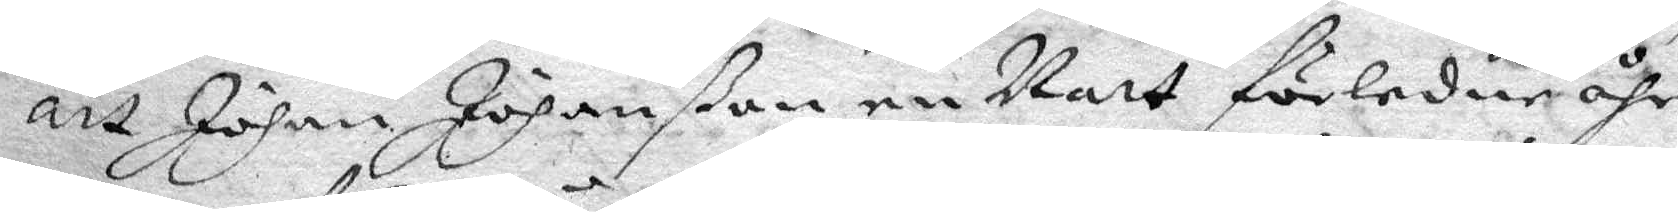att Johan Johanßon en Natt förledne åhr
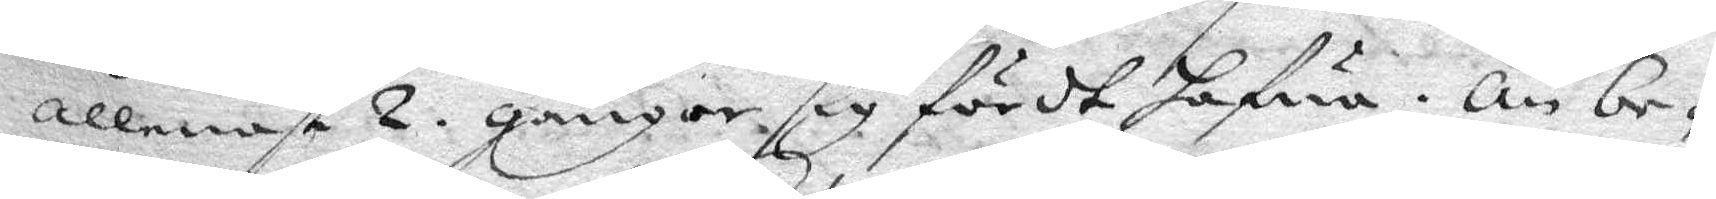allenast 2 gånger sig fördt hafwa. Än be¬
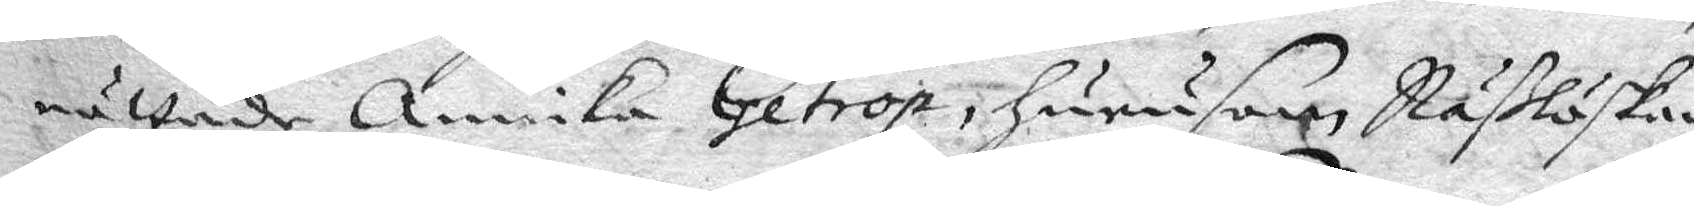rättade Annika Getrop, hurusom Näßlöskan
